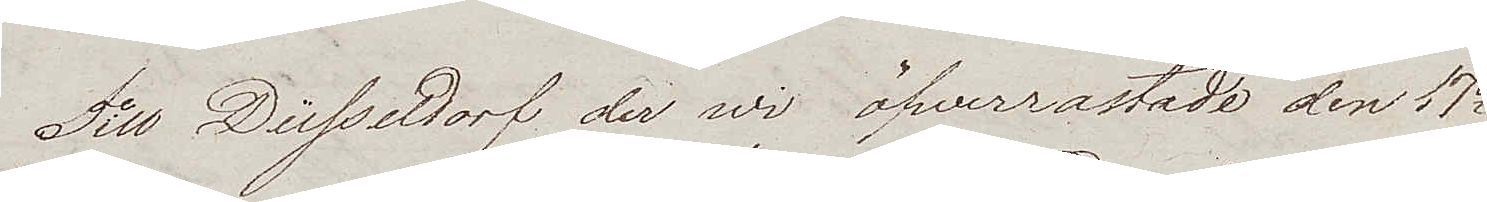Till Düsseldorf der wi öfwerrastade den 17e
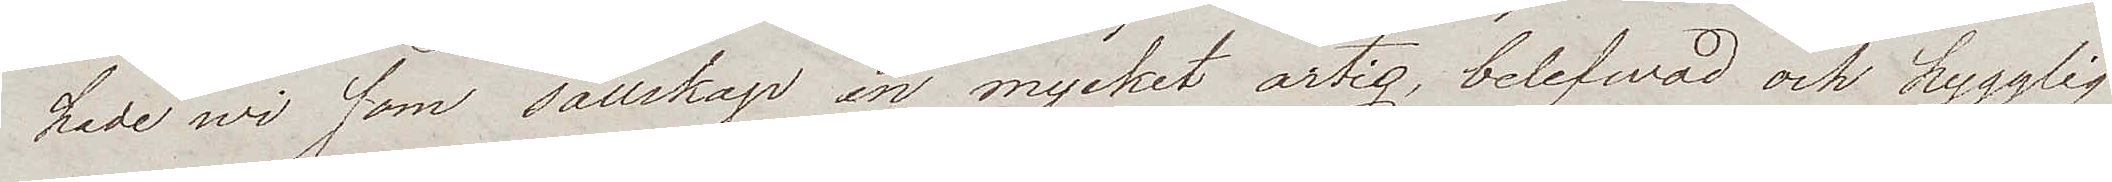hade wi som sällskap en mycket artig, belefwad och hygglig
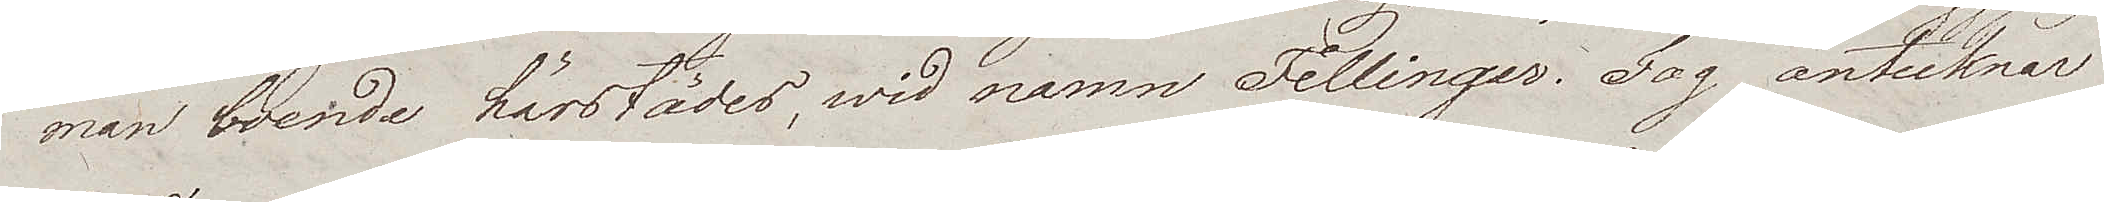man boende härstädes, wid namn Fellinger. Jag antecknar
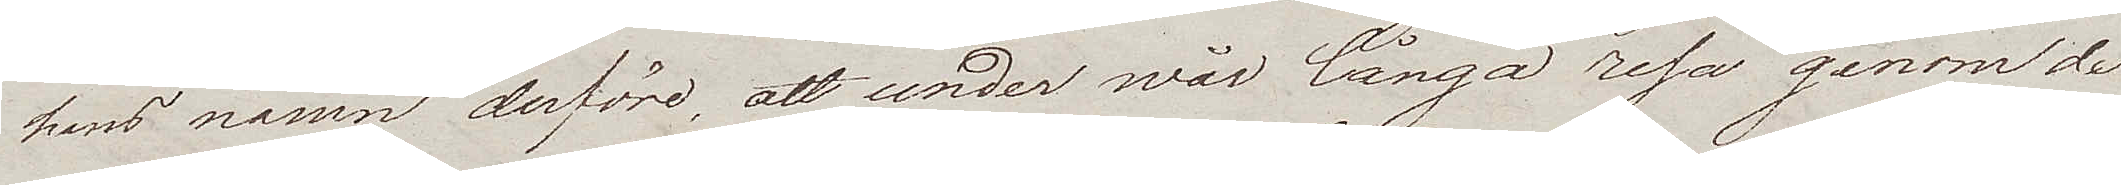hans namn derföre, att under wår långa resa genom de
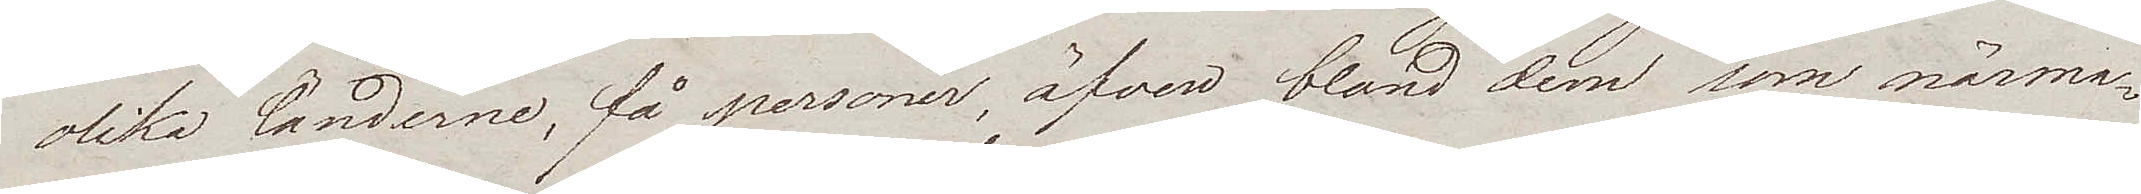olika länderna, få personer, äfven bland dem som närma¬
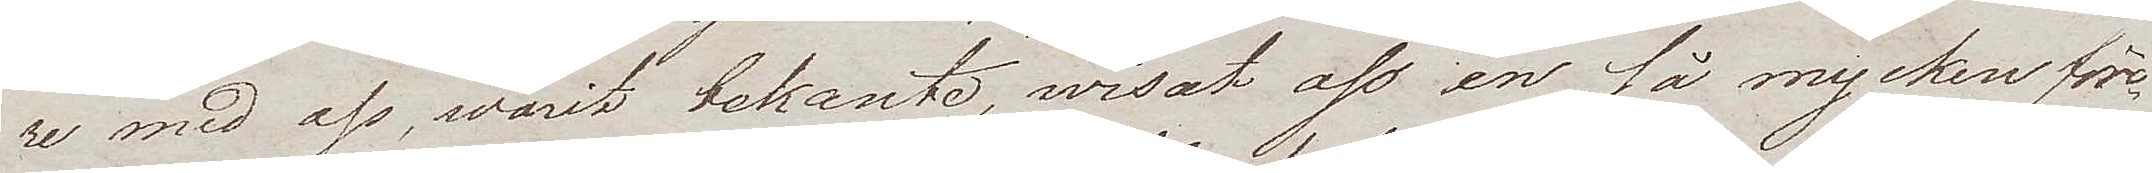re med oss, warit bekante, wisat oss en så mycken före¬
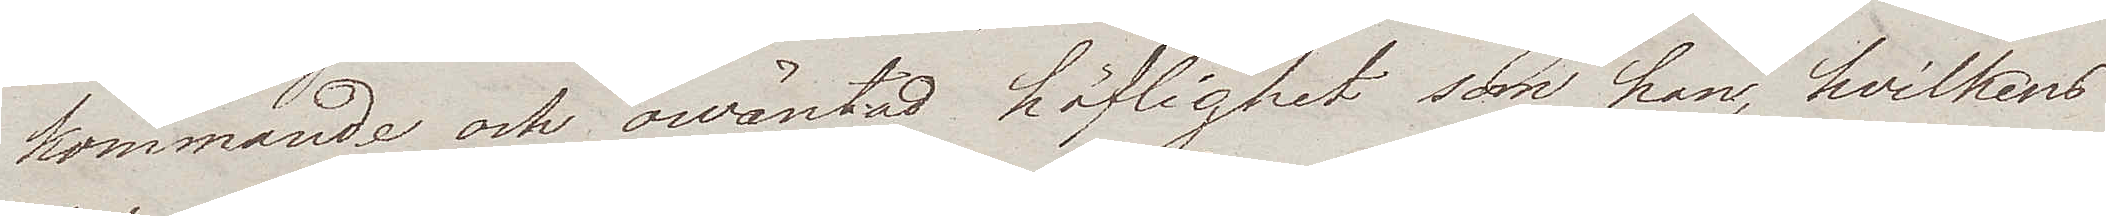kommande och owäntad höflighet som han, hvilkens
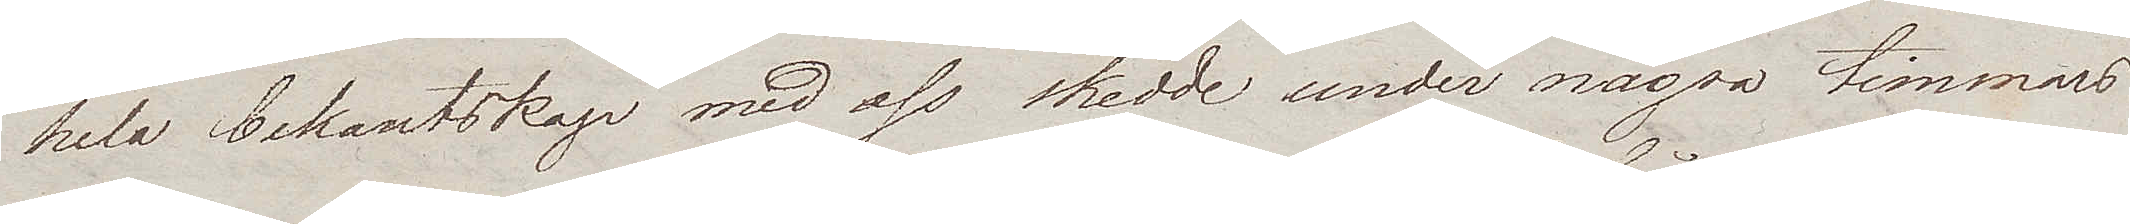hela bekantskap med oss skedde under några timmars
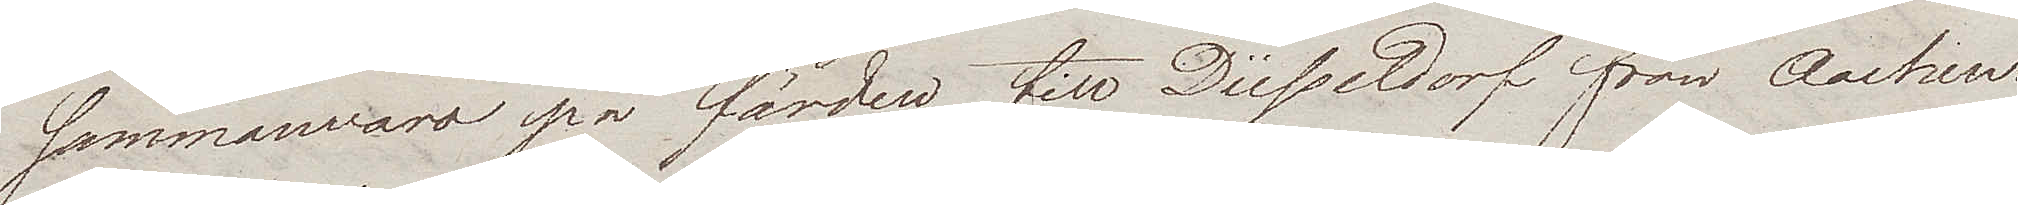sammanwaro på färden till Düsseldorf från Aachen.
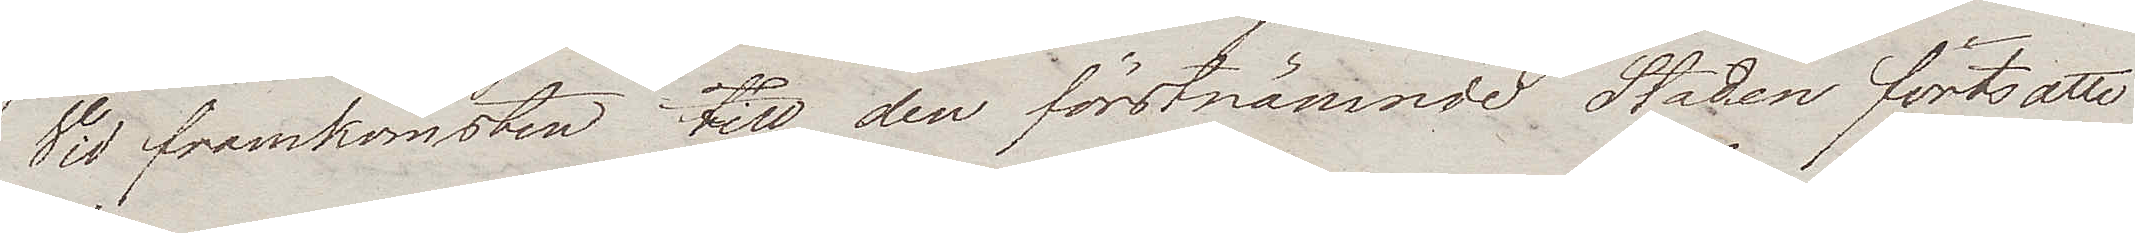Vid framkomsten till den förstnämnde Staden fortsatte
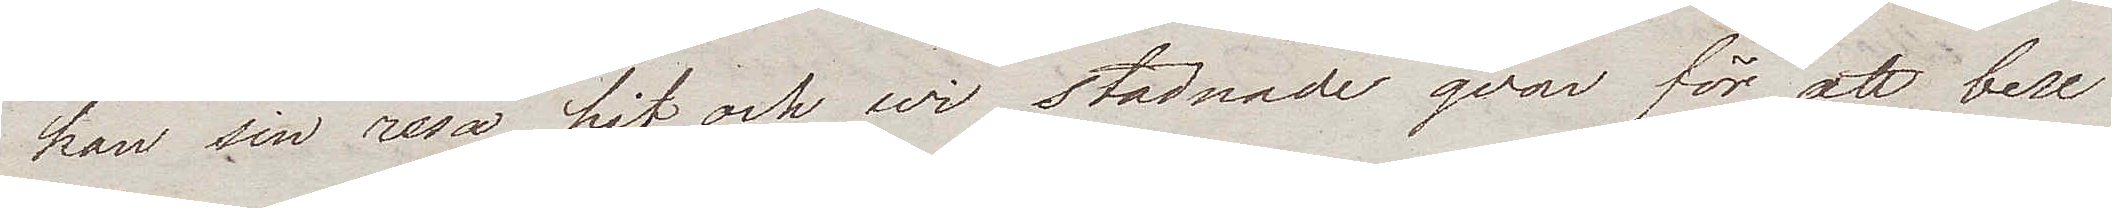han sin resa hit och wi stadnade qvar för att bese
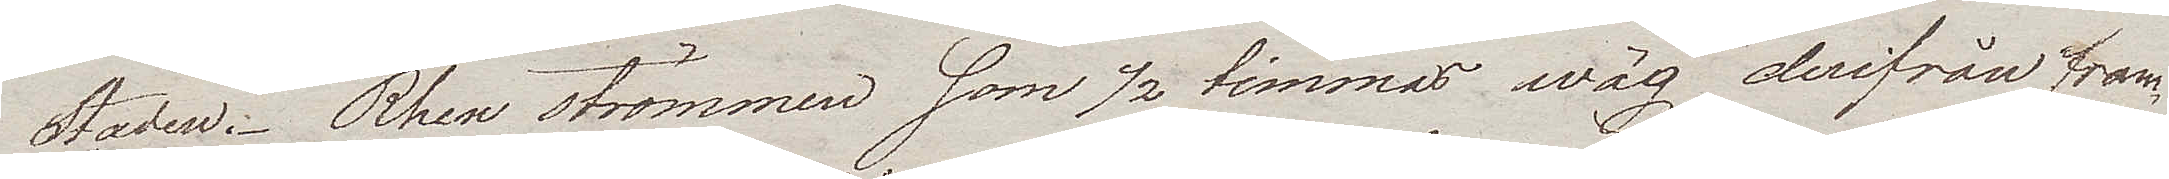Staden. Rhen strömmen som ½ timmas wäg derifrån fram¬
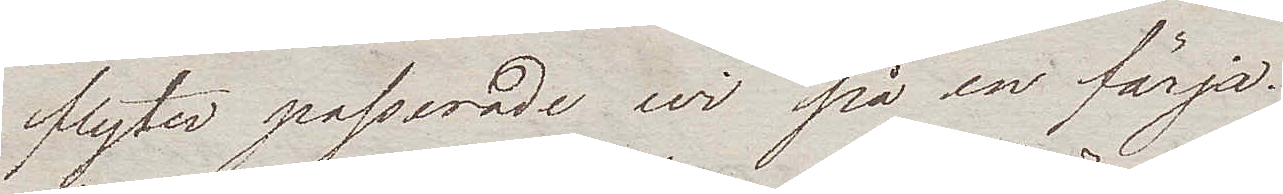flyter passerade wi på en färja.
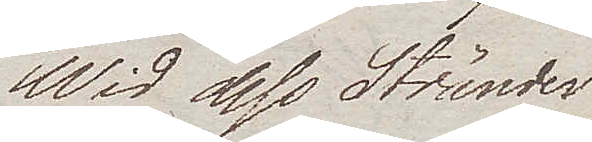Wid dess Stränder
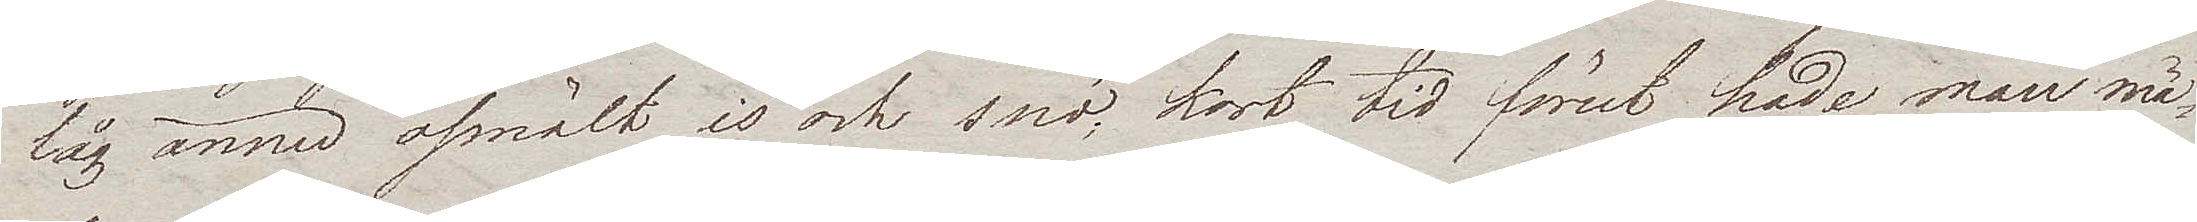låg ännu osmält is och snö, kort tid förut hade man mä¬
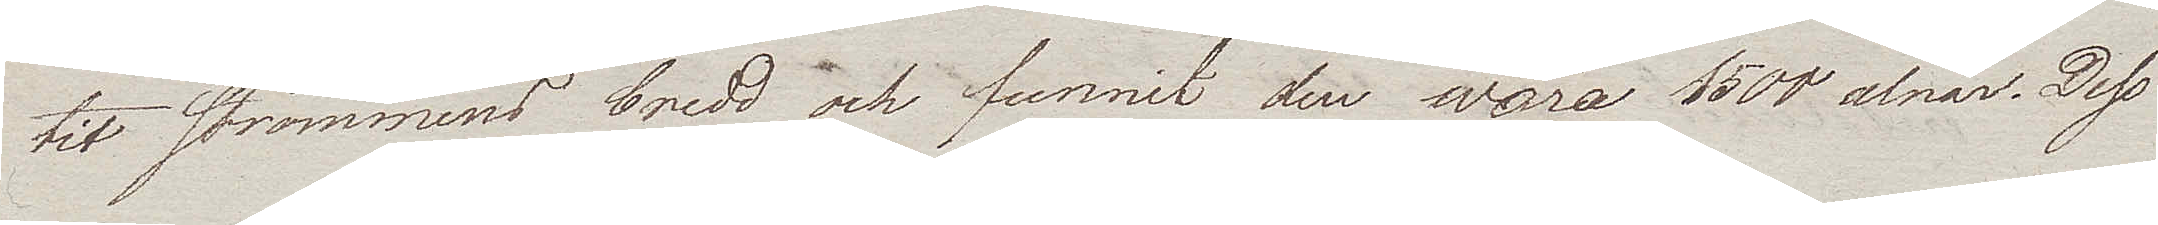tit Strömmens bredd och funnit den wara 1500 alnar. Dess
